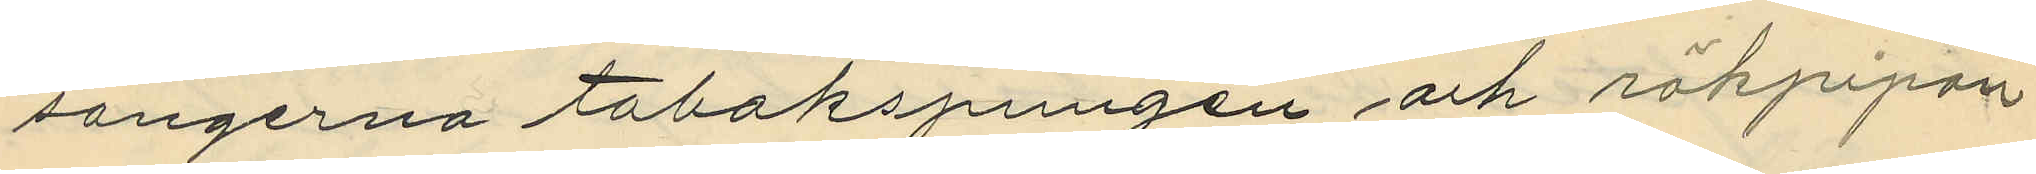songerna tobakspungen och rökpipan
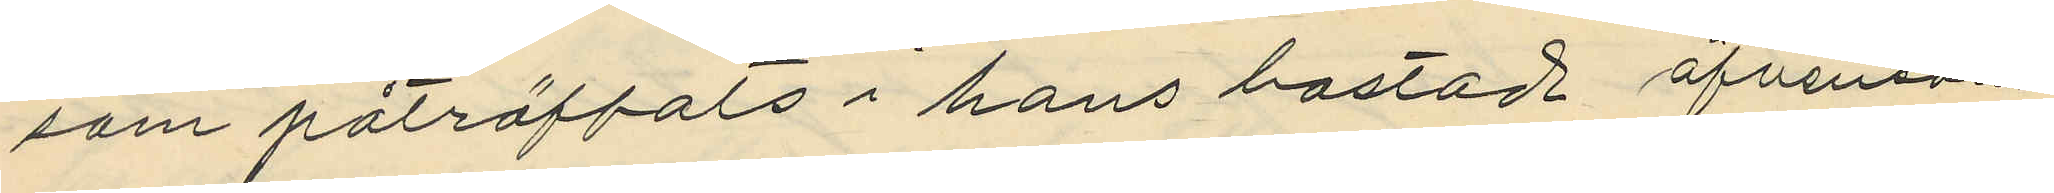som påträffats i hans bostad äfvensom
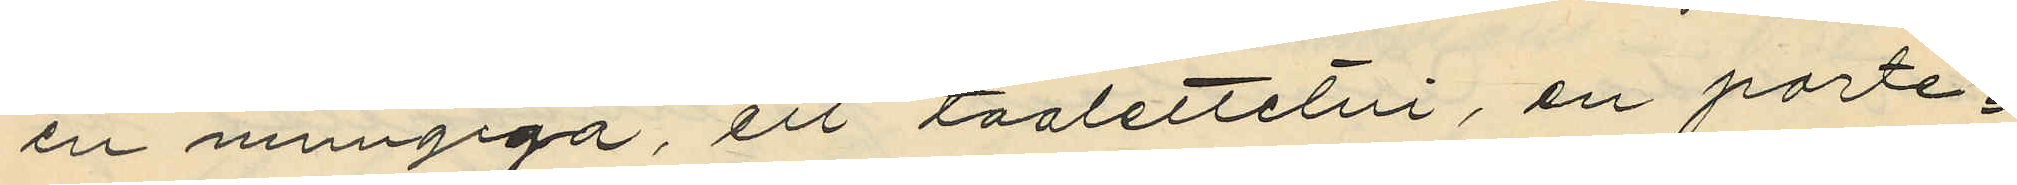en mungiga, ett toalettetui, en porte¬
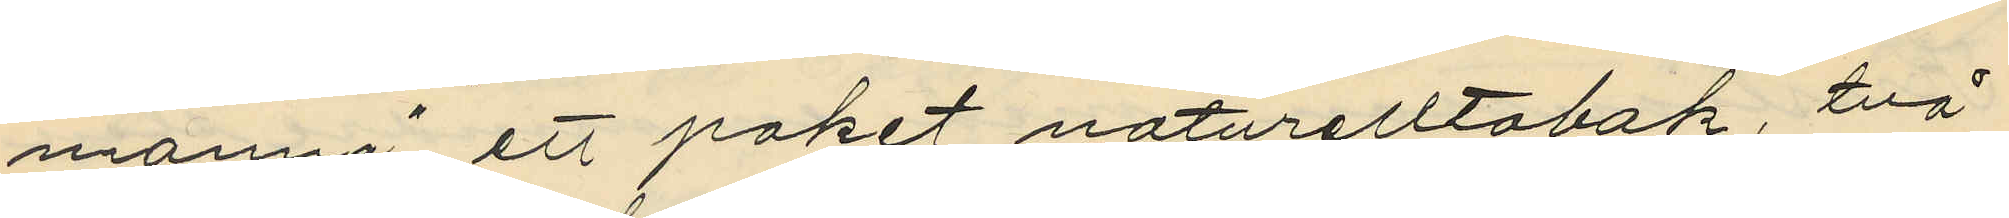monnä, ett paket naturelltobak, två
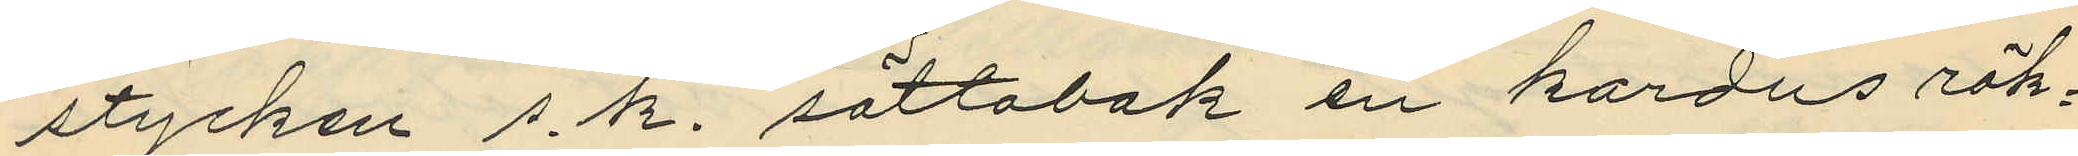stycken s.k. söttobak en kardus rök¬
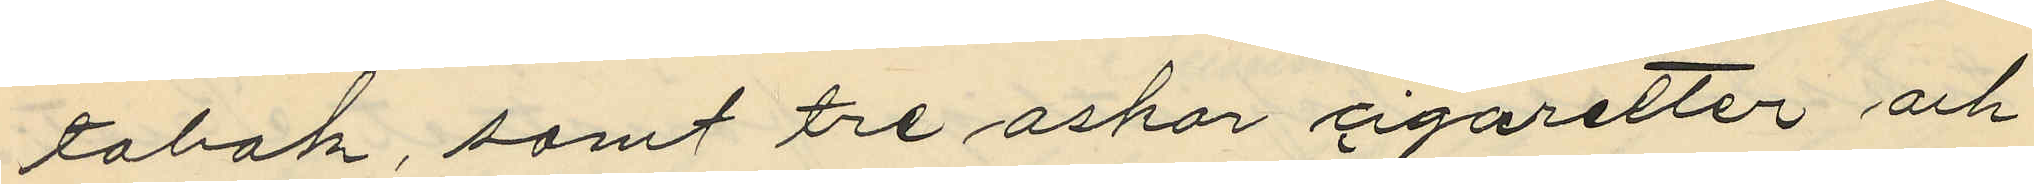tobak, samt tre askar cigaretter, och
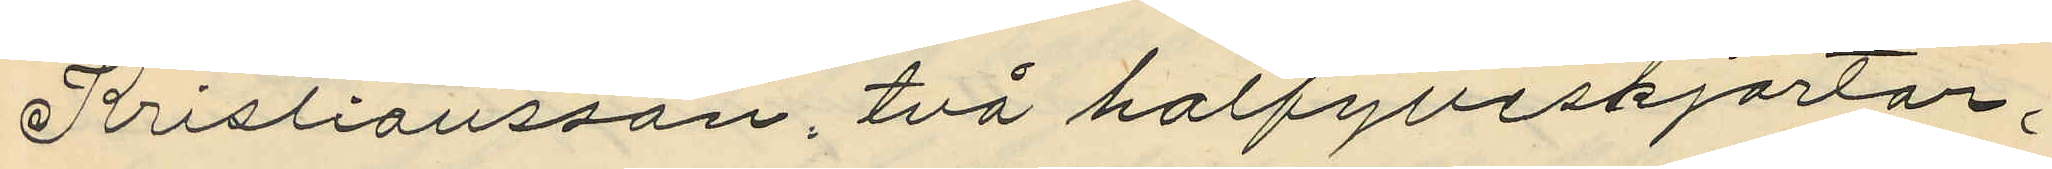Kristiansson, två halfylleskjortor,
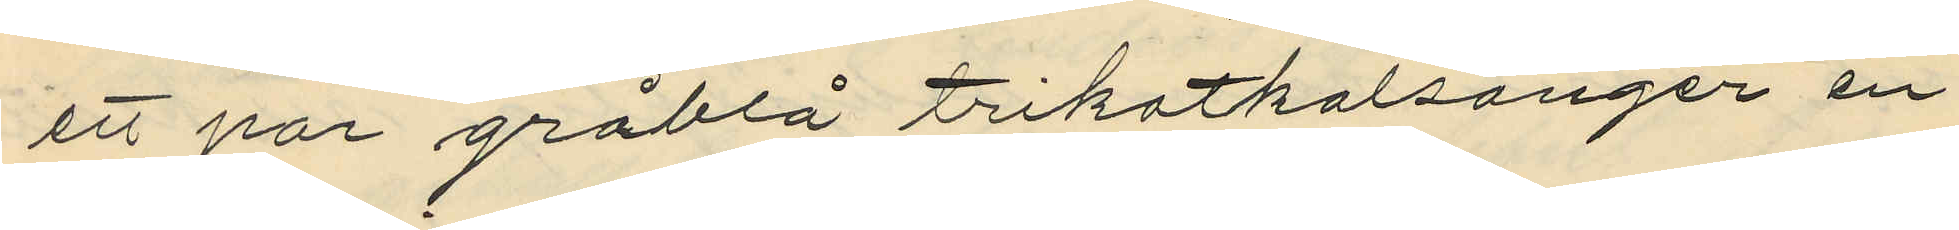ett par gråblå trikotkalsonger en
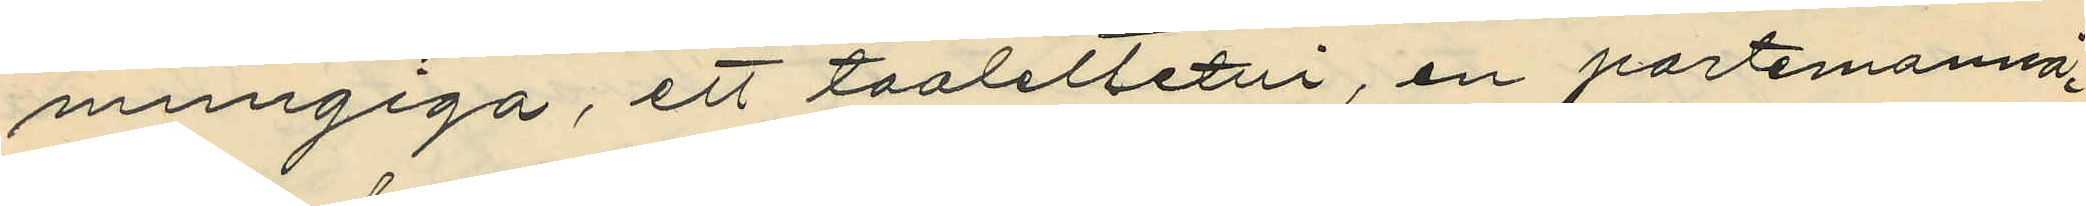mungiga, ett toalettetti, en portmonnä
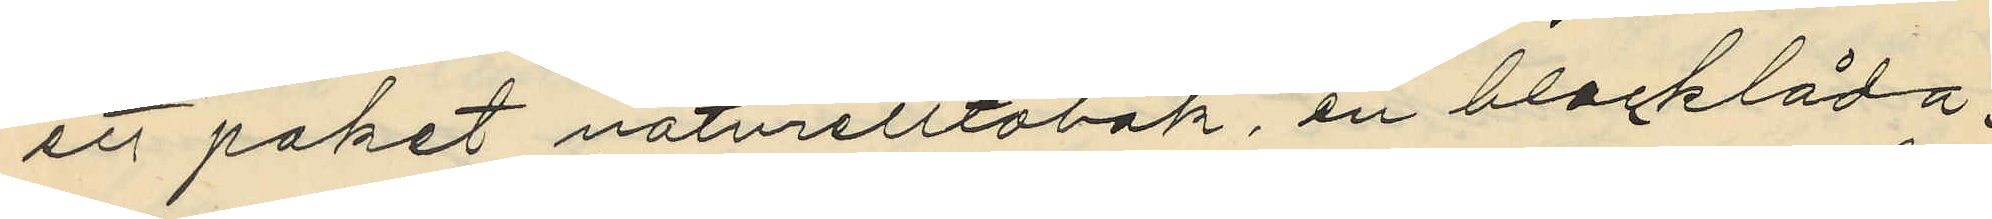ett paket naturelltobak, en blecklåda,
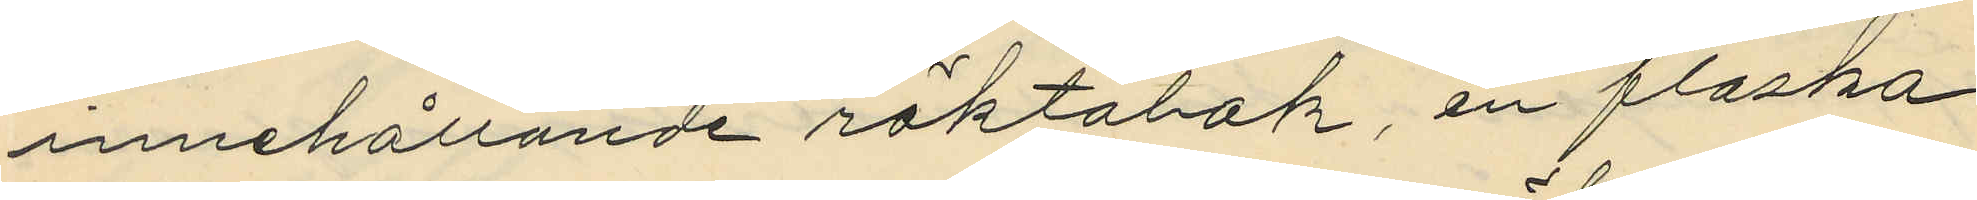innehållande röktobak, en flaska
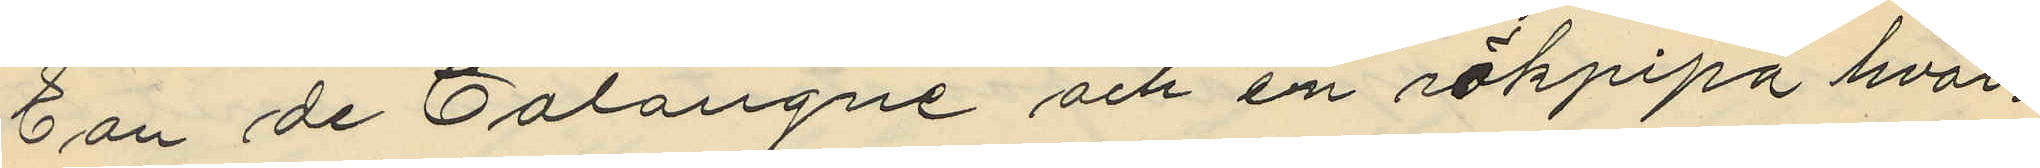Eau de Colongne och en rökpipa hvar¬
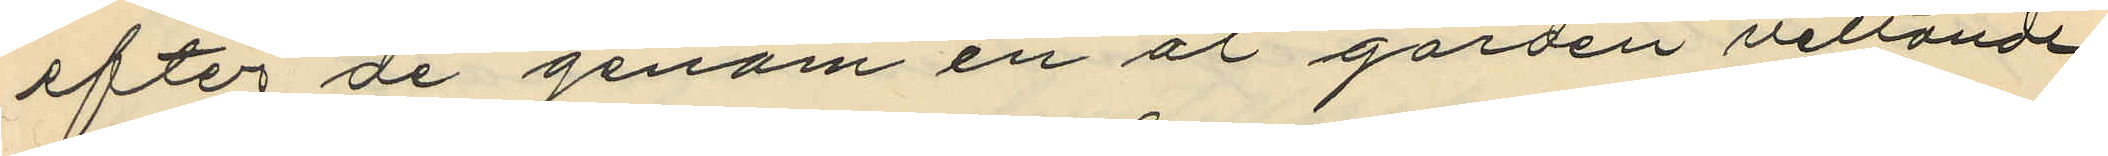efter de genom en åt gården vettande
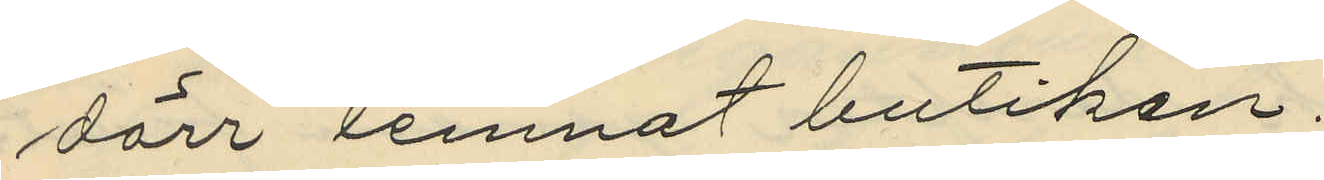dörr lemnat butiken.
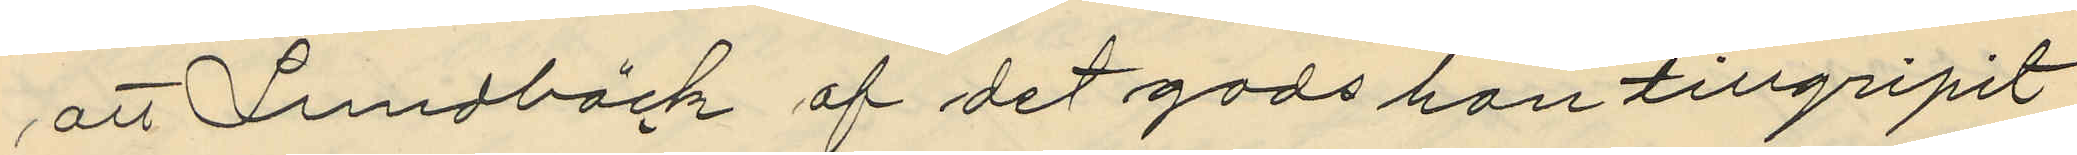att Lundbäck af det gods han tillgripit
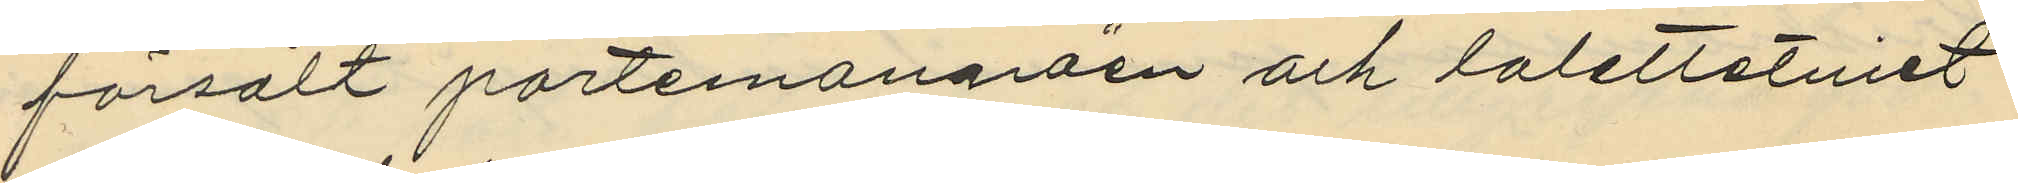försålt portemonnäen och toalettetuiet
